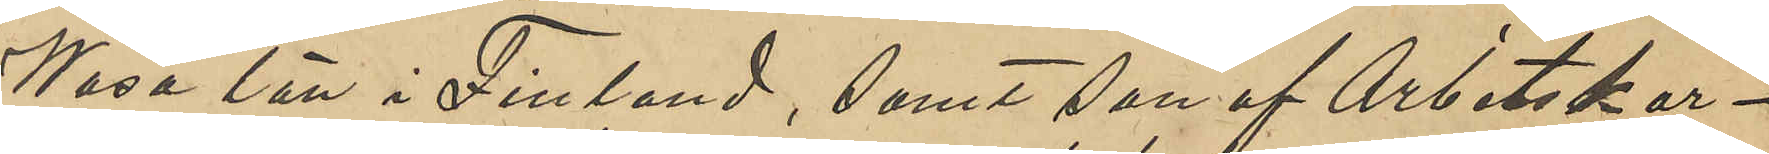Wasa län i Finland, samt son af Arbetskar¬
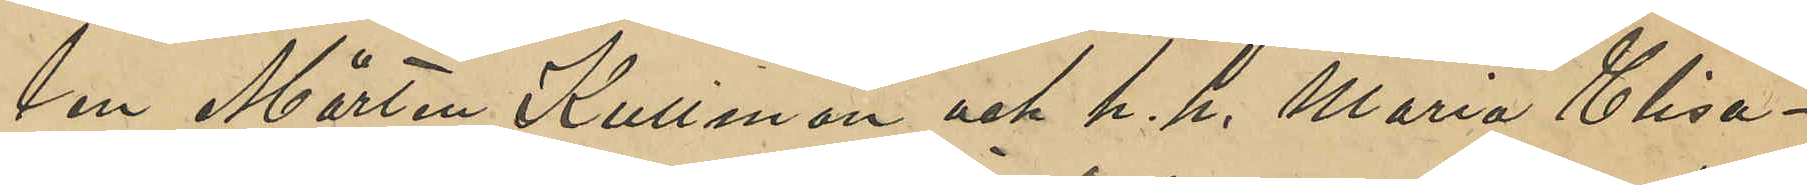len Mårten Kullman och h. h. Maria Elisa¬
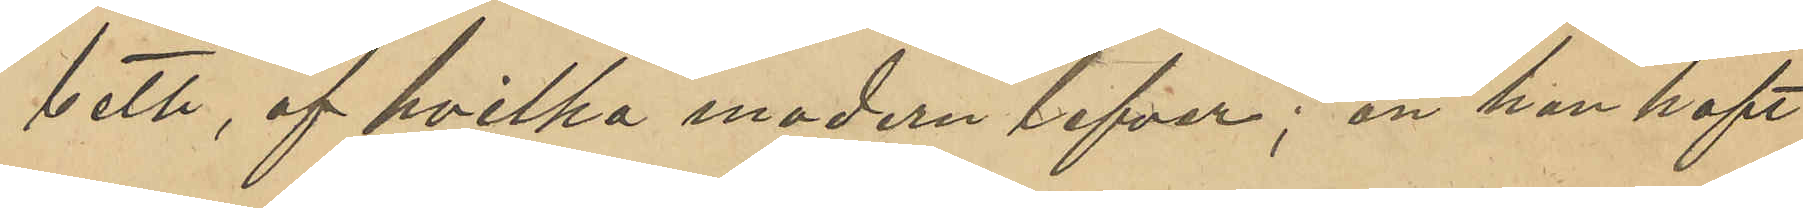beth, af hvilka modern lefva; att han haft
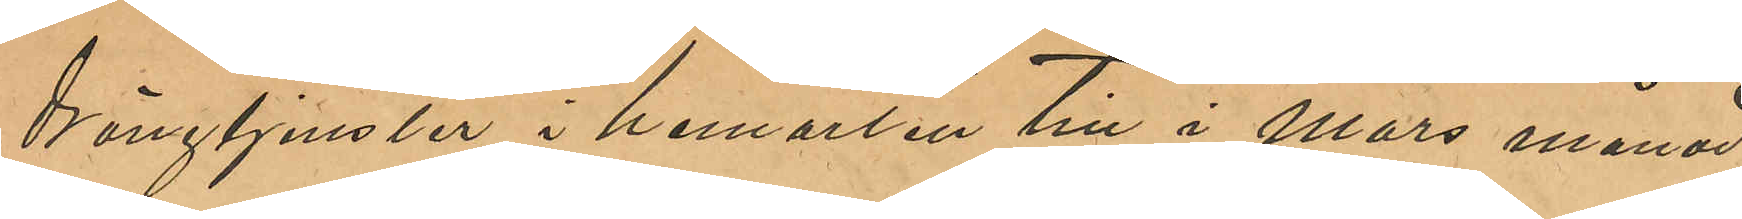drängtjenster i hemorten till mars månad
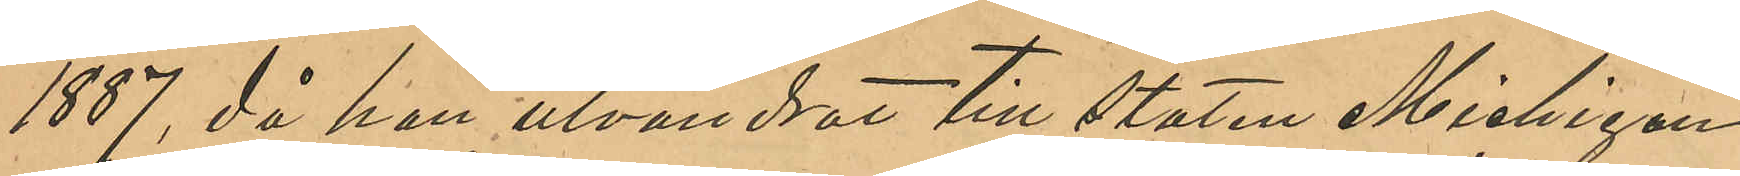1887, då han utvandrat till staten Michigan
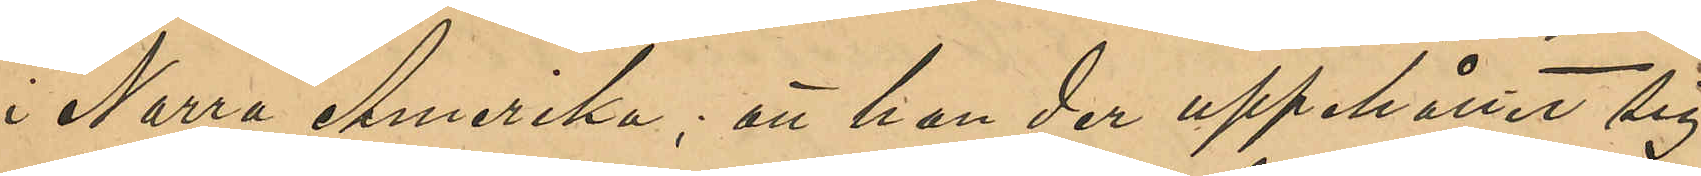i Norra Amerika; att han der uppehållit sig 
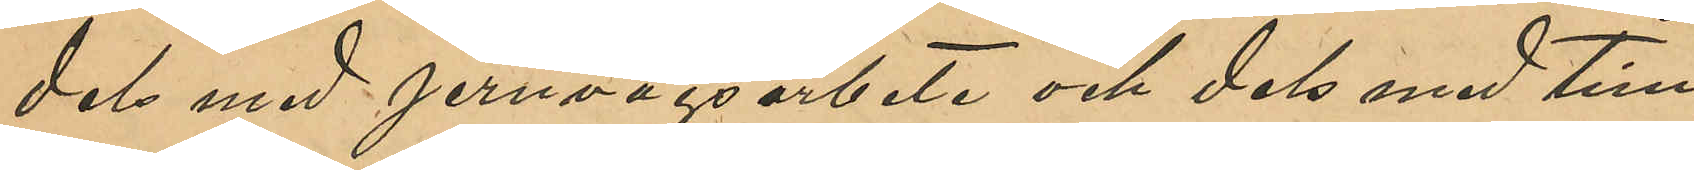dels med jernvägsarbete och dels med tim¬
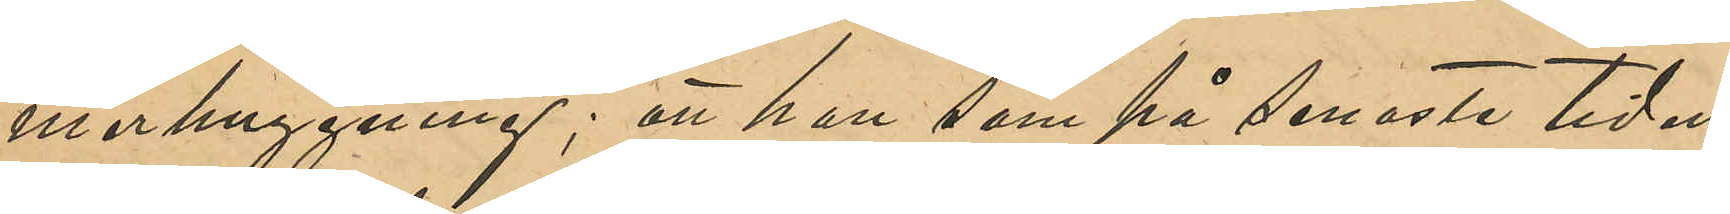merhuggning; att han som på senaste tiden
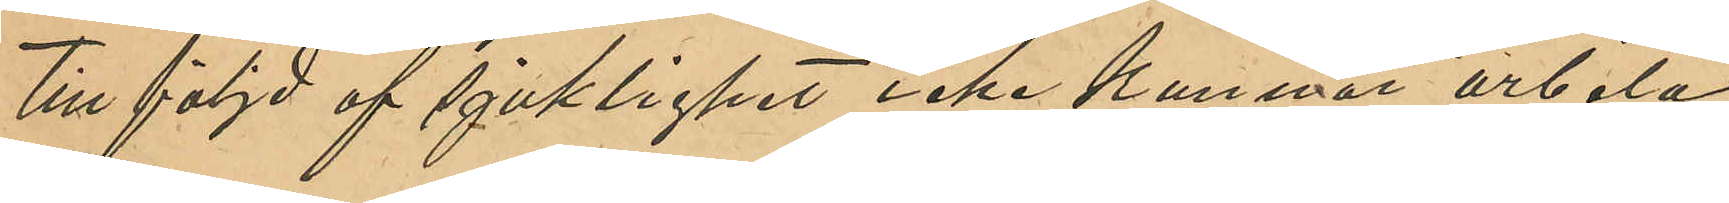till följd af sjuklighet icke kunnat arbeta,
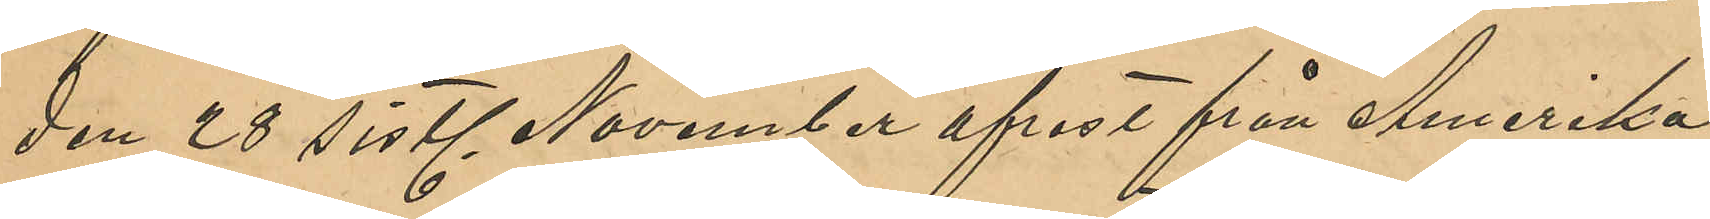den 28 sistl November afrest från Amerika
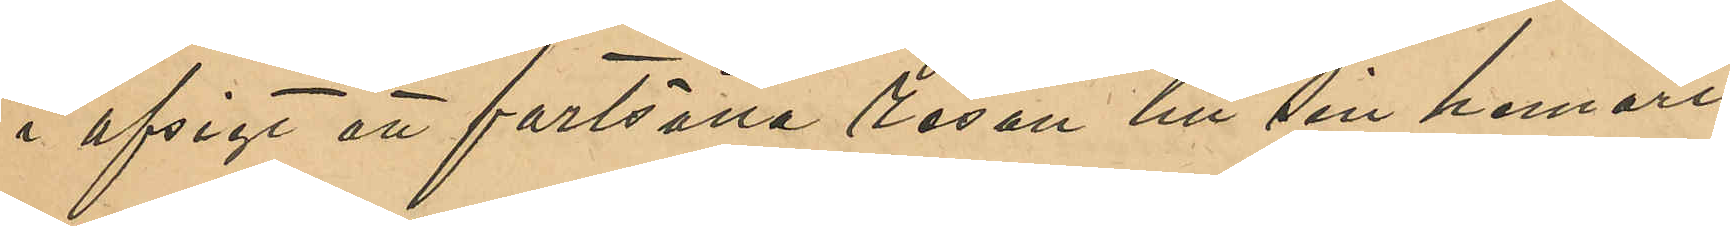i afsigt att fortsätta resan till sin hemort;
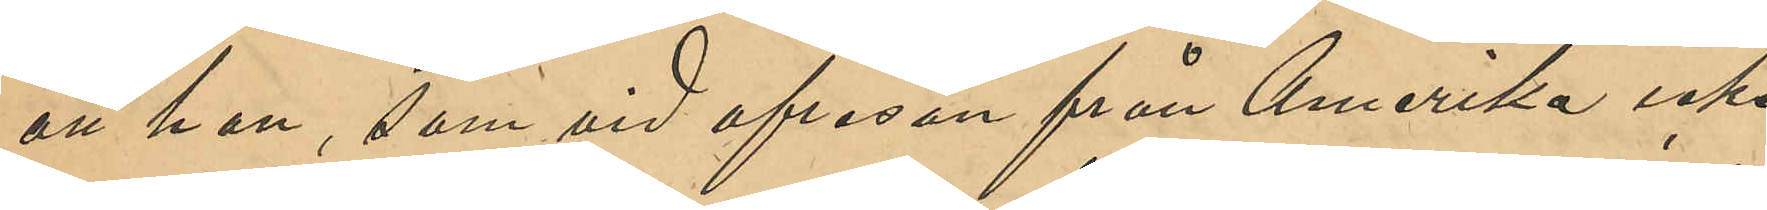att han, som vid afresan från Amerika icke
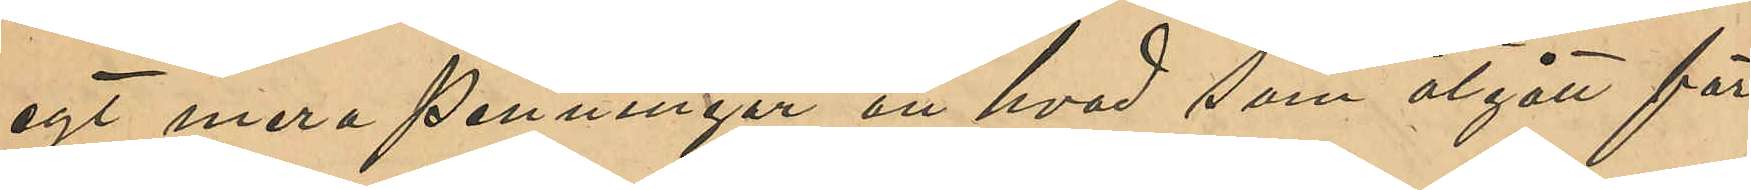egt mera penningar än hvad som åtgått för
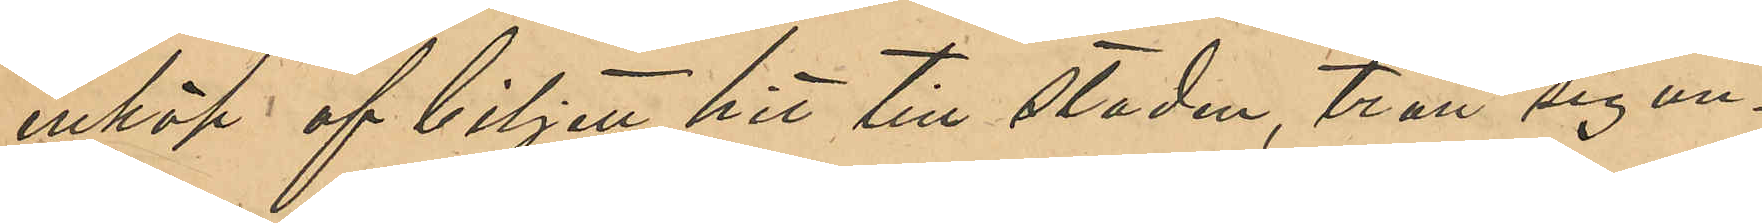inköp af biljett hit till staden, trott sig un¬
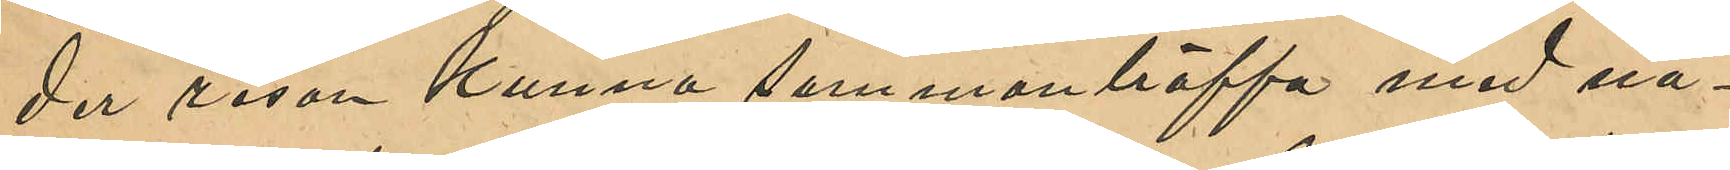der resan kunna sammanträffa med nå¬
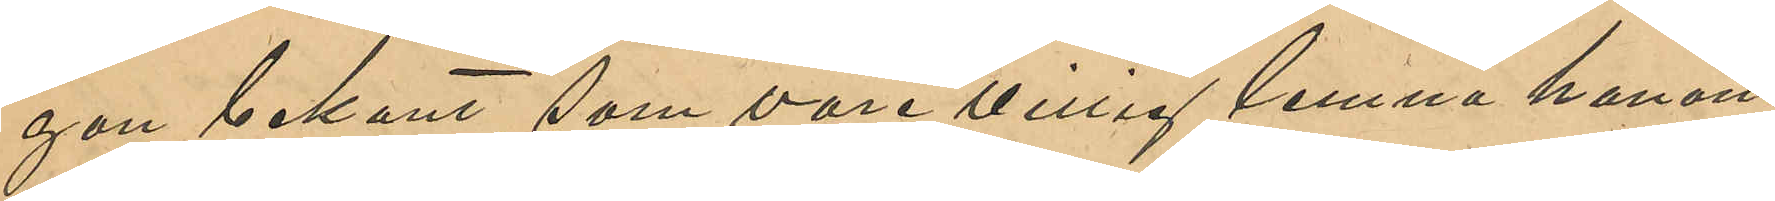gon bekant, som vore villig lemna honom
